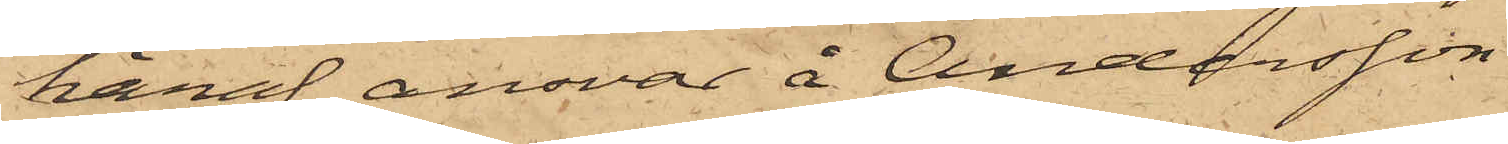häraf, ansvar å Andersson.
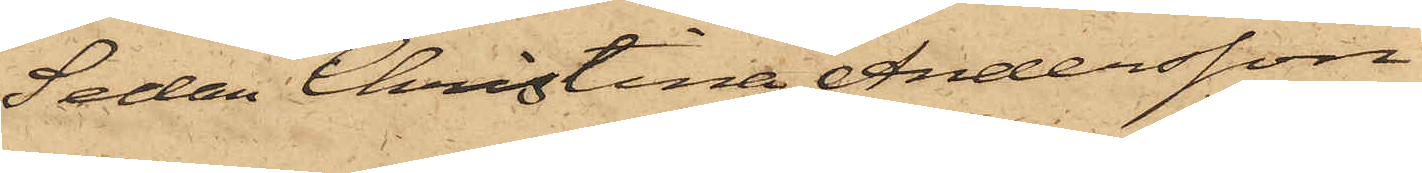Sedan Christina Andersson
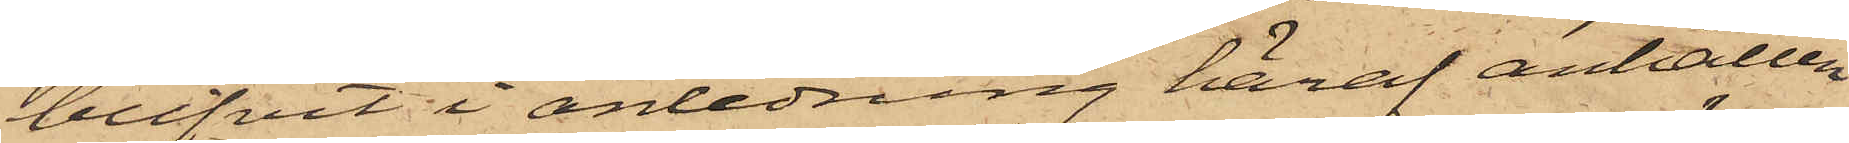blifvit i anledning häraf anhållen
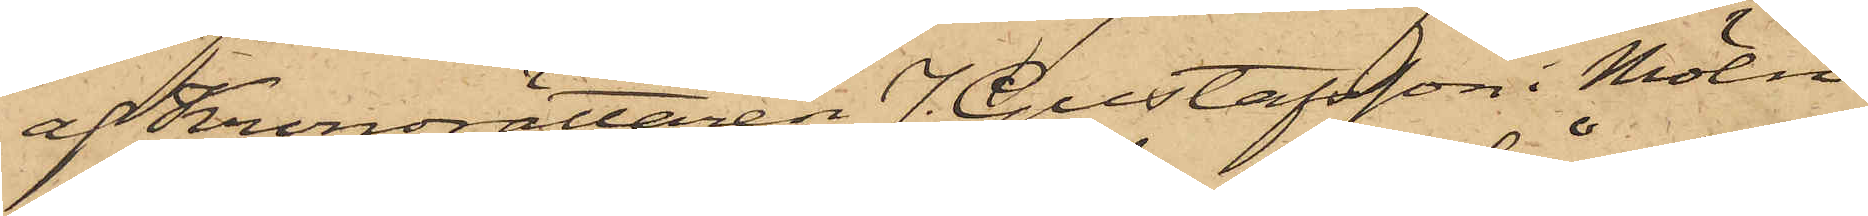af Kronorättaren J. Gustafsson i Möln¬
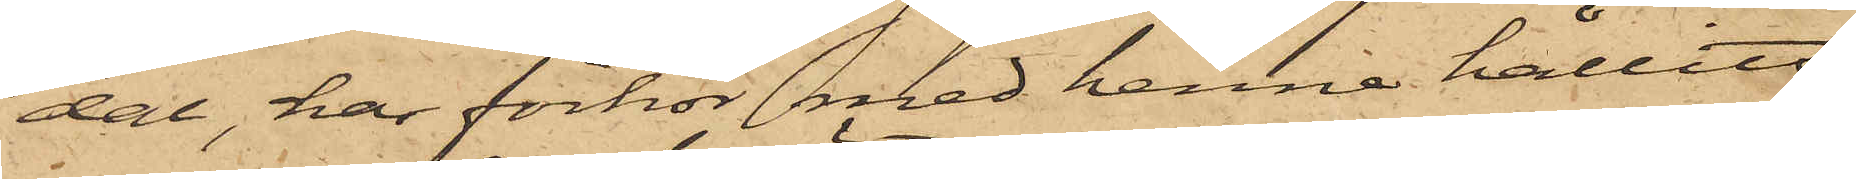dal, har förhör med henne hållits,
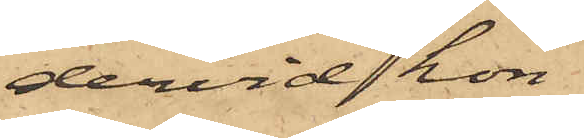dervid hon
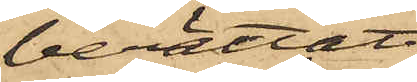berättat
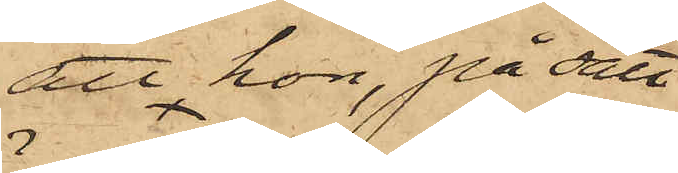att hon, på sätt
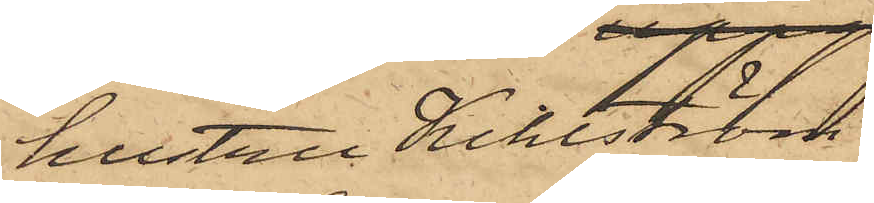hustru Kihlström
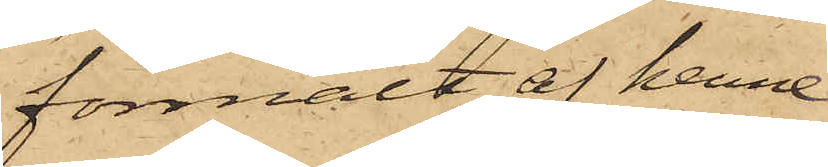förmält af henne
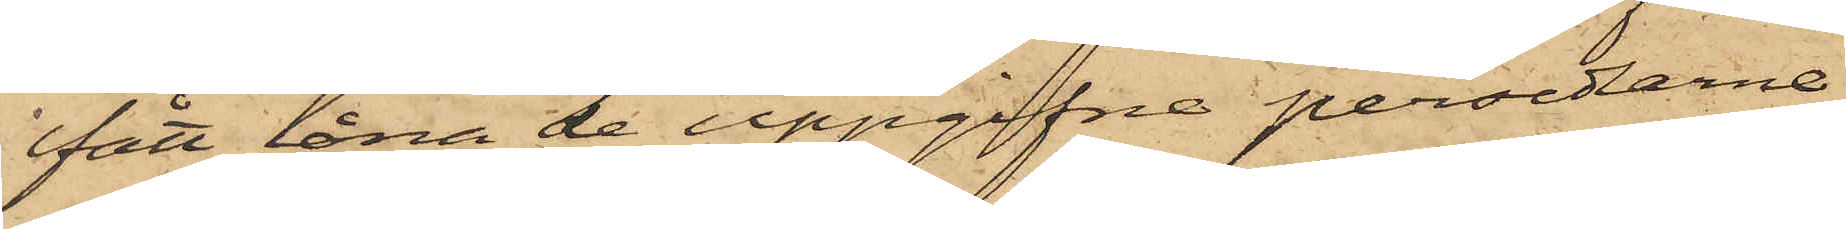fått låna de uppgifne persedlarne,
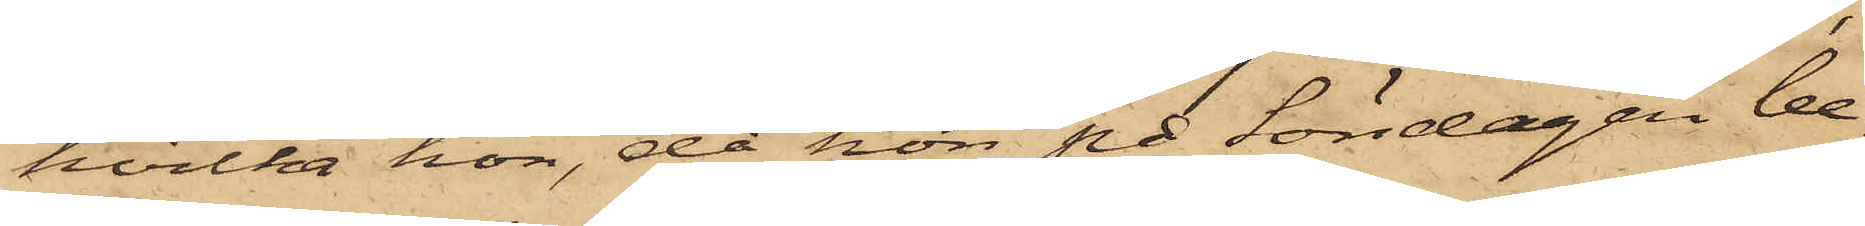hvilka hon, då hon på Söndagen be¬
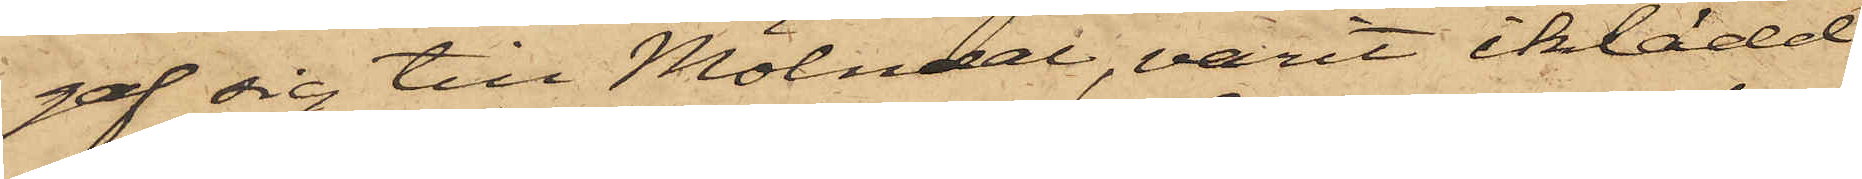gaf sig till Mölndal, varit iklädd,
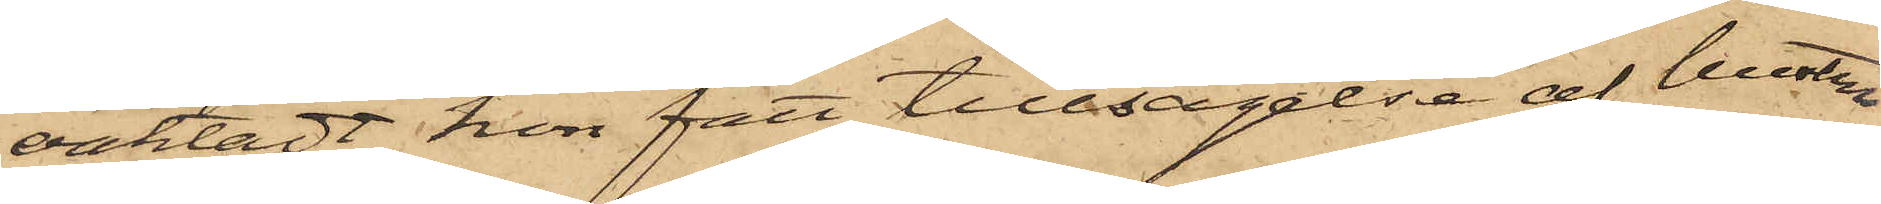oaktadt hon fått tillsägelse af hustru
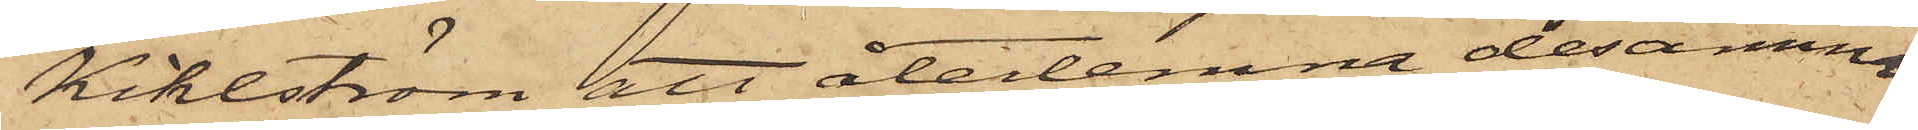Kihlström att återlemna desamma;
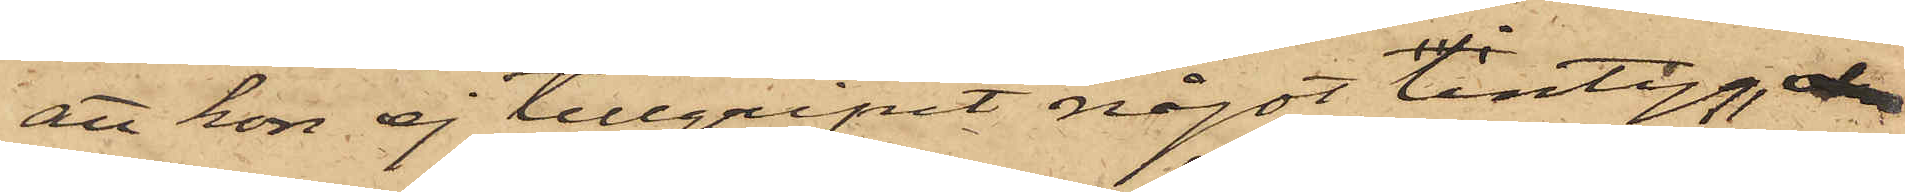att hon ej tillgripit något lintyg,
